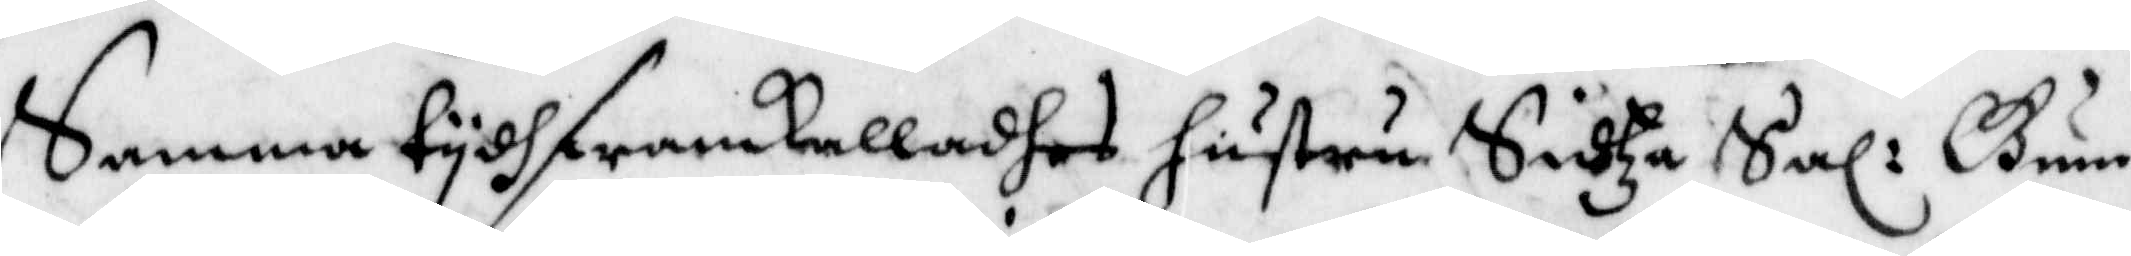Samma tydh framkalladhes hustru Sidza Sal: Gun¬
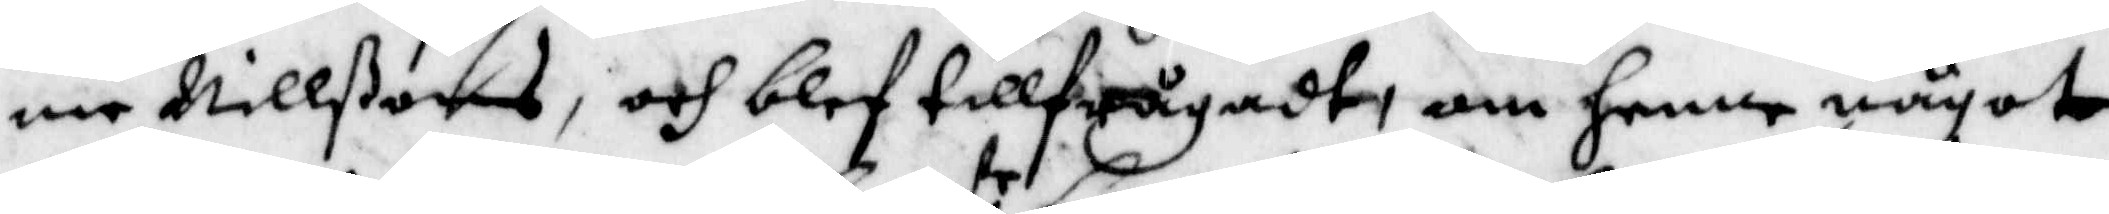ne Nillßons, och blef tillfrågadt, om henne något
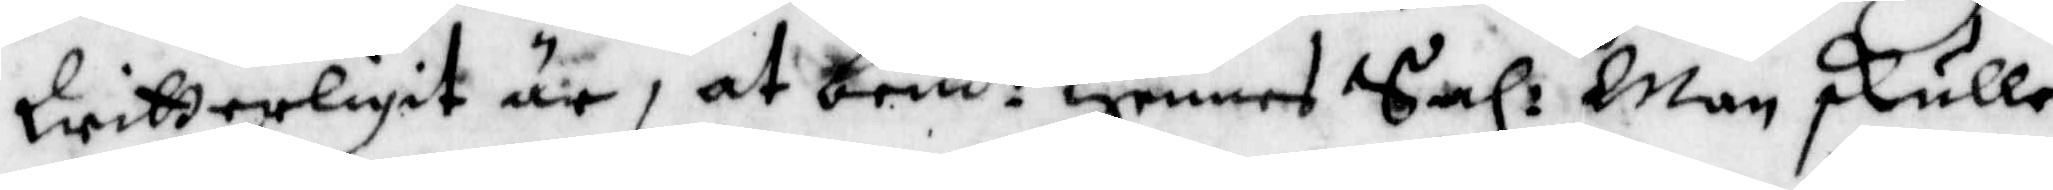Witterligit är, at bem:de Hennes Sal: Man skulle
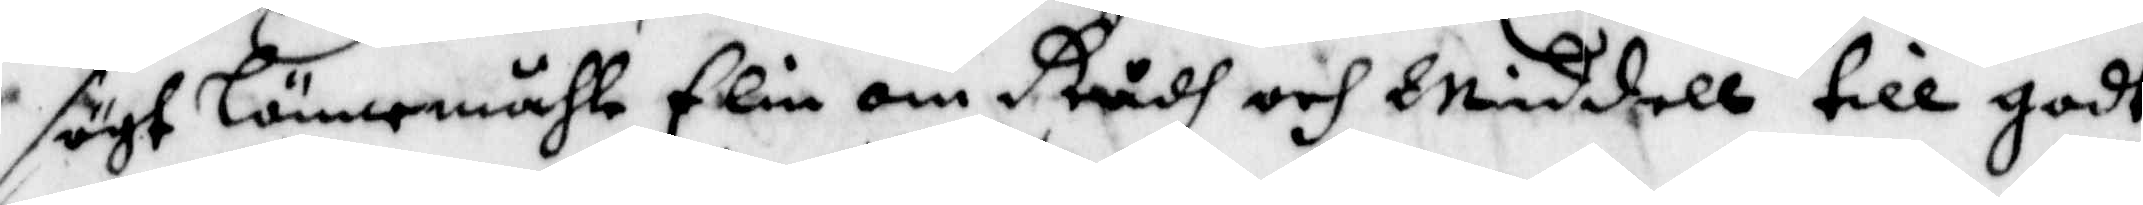sögt Lönnemåhle Elin om Rådh och Middell till godt
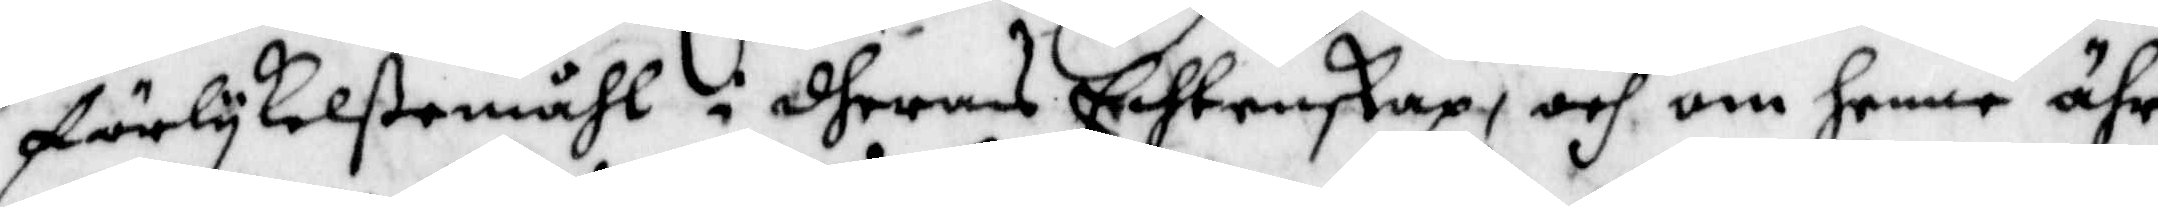förlykelßemåhl i dheras Echtenskap, och om henne ähr
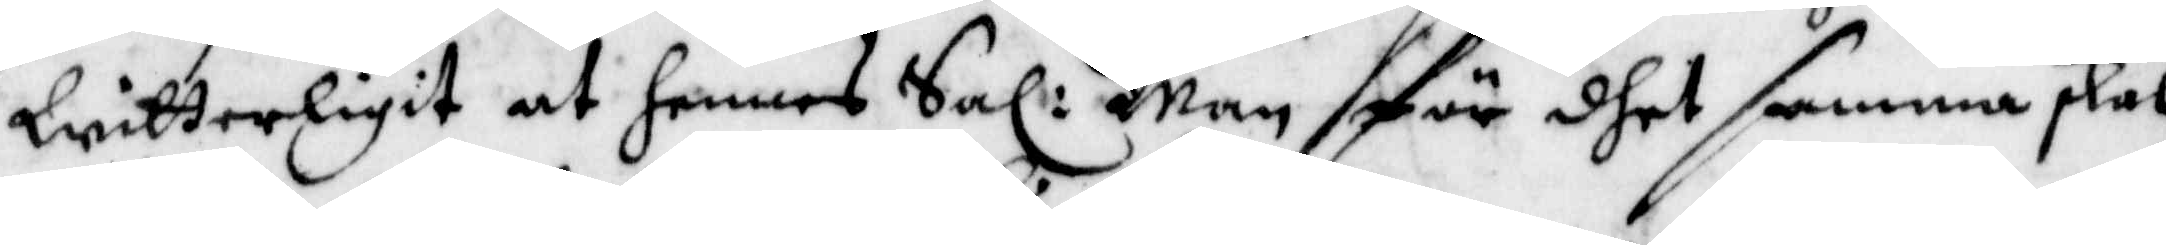Witterligit at hennes Sal: Man för dhet samma skal
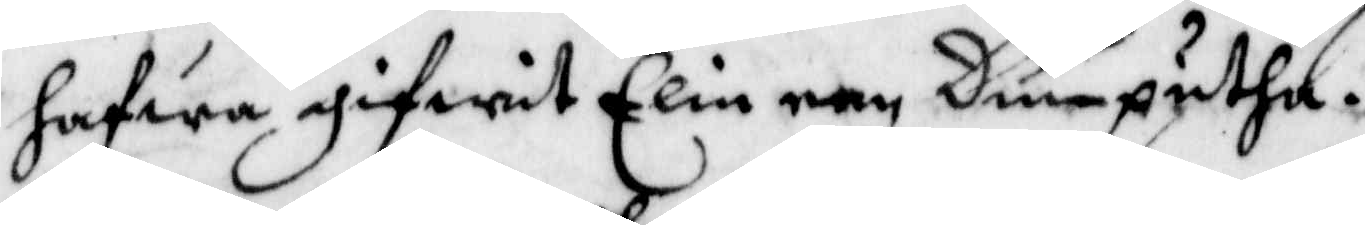hafwa gifwit Elin een Dunputha.
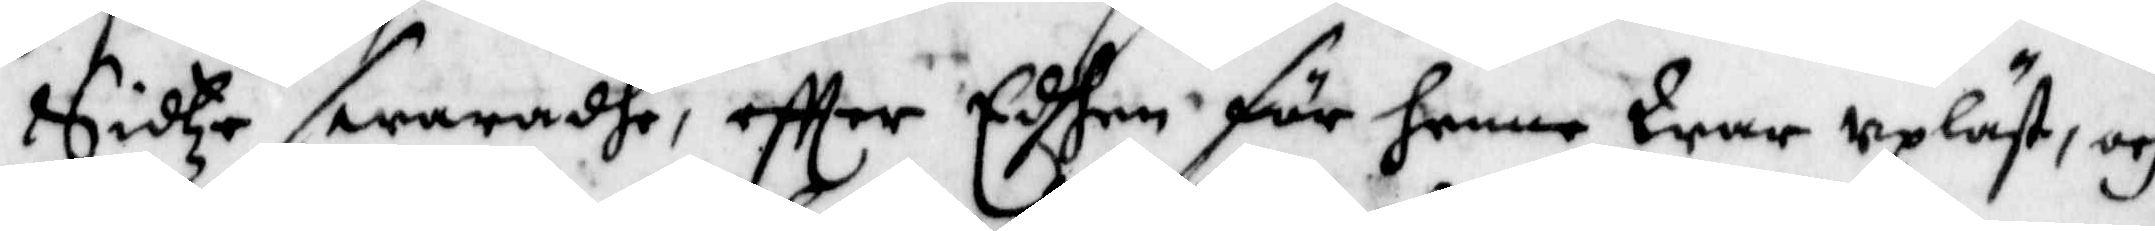Sidze swaradhe, eftter Edhen för henne War upläst, och
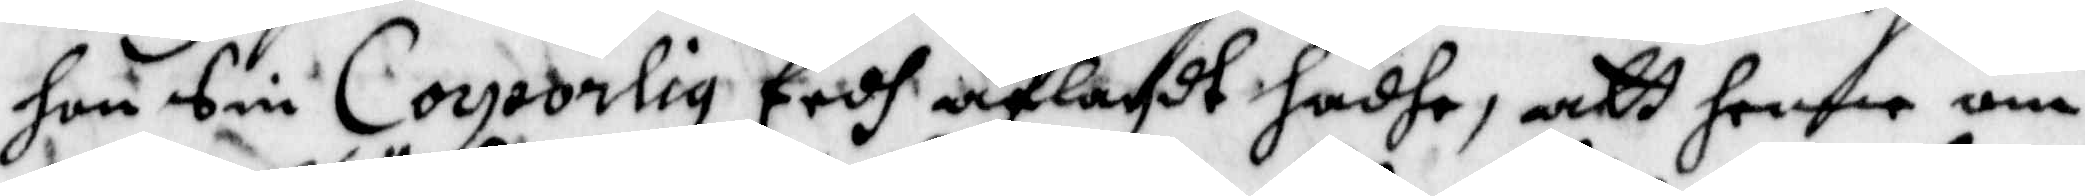hon Sin Coyeorlig Eedh aflagdt hadhe, att henne om
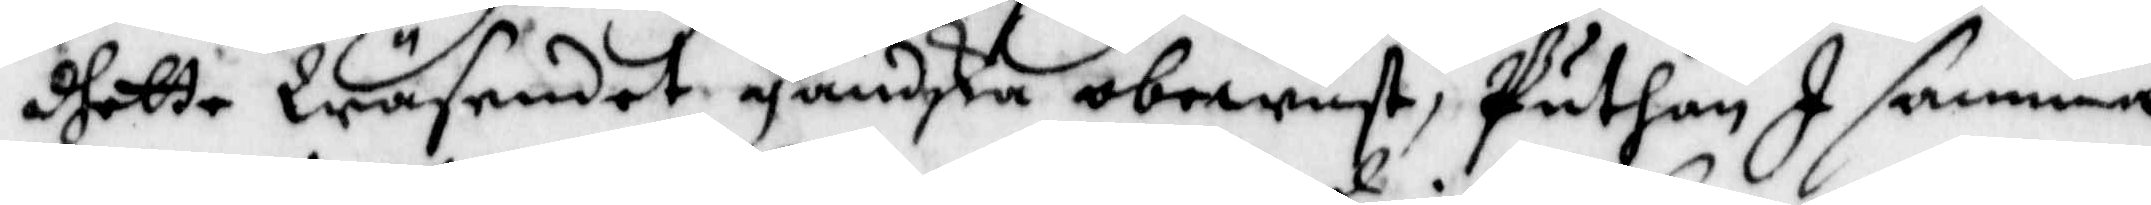dhette Wäsendet ganska obewust, Puthan I samma
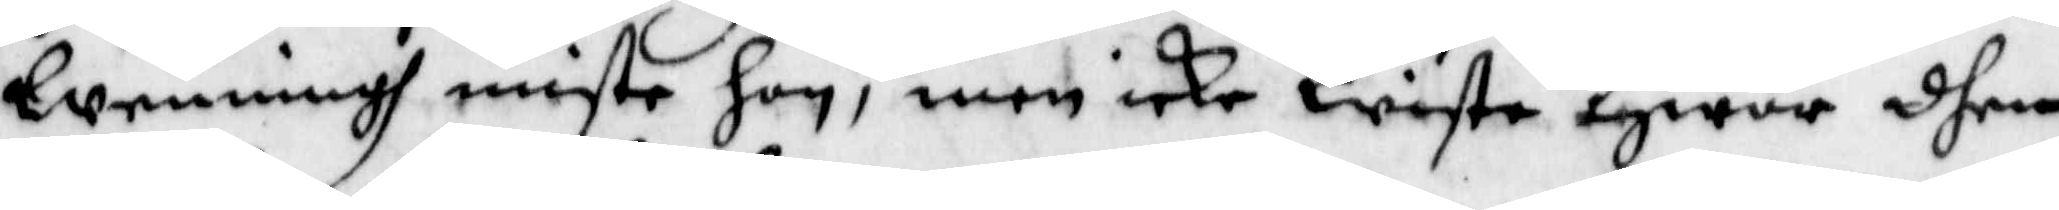Wenningh miste hon, men icke Wiste Hwar dhen
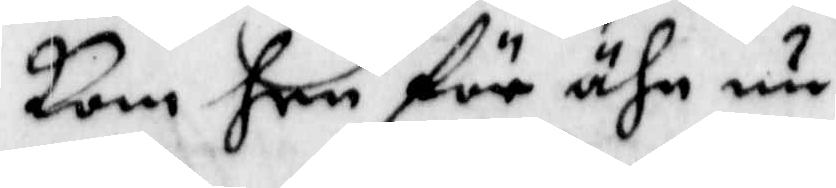kom hen för ähn nu.
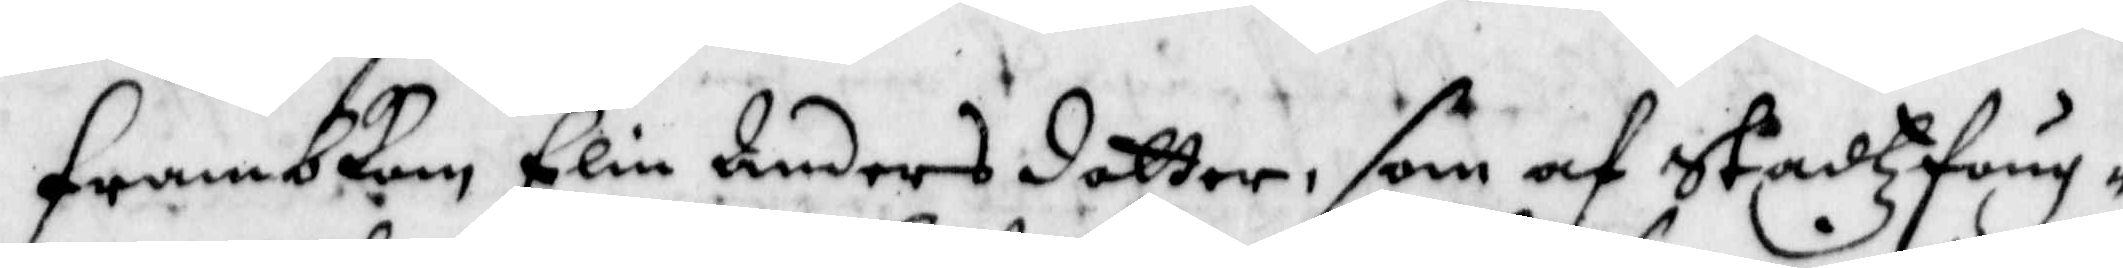Frambkom Elin Anders dotter, som af Stadtzfoug¬
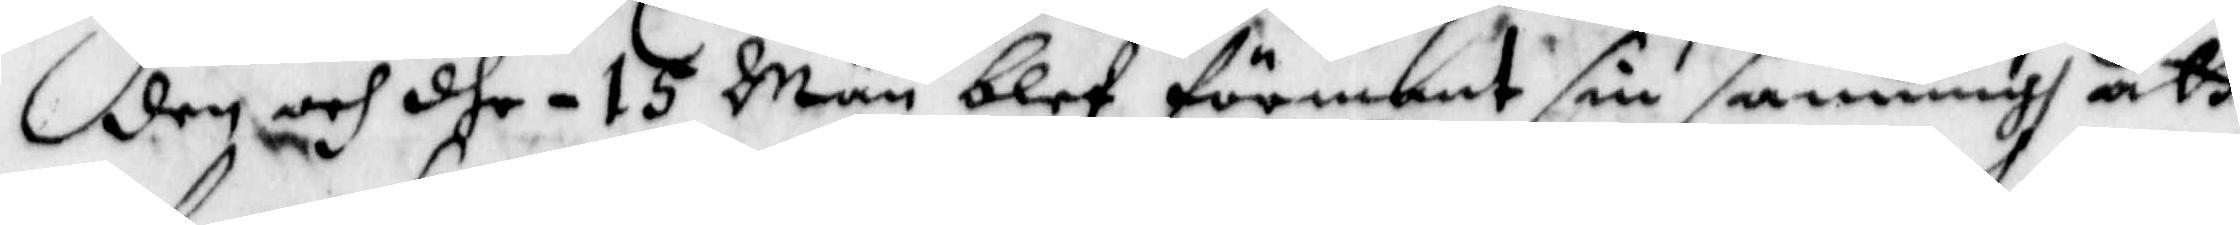den och dhe - 15 Män blef förmant sin sanning att
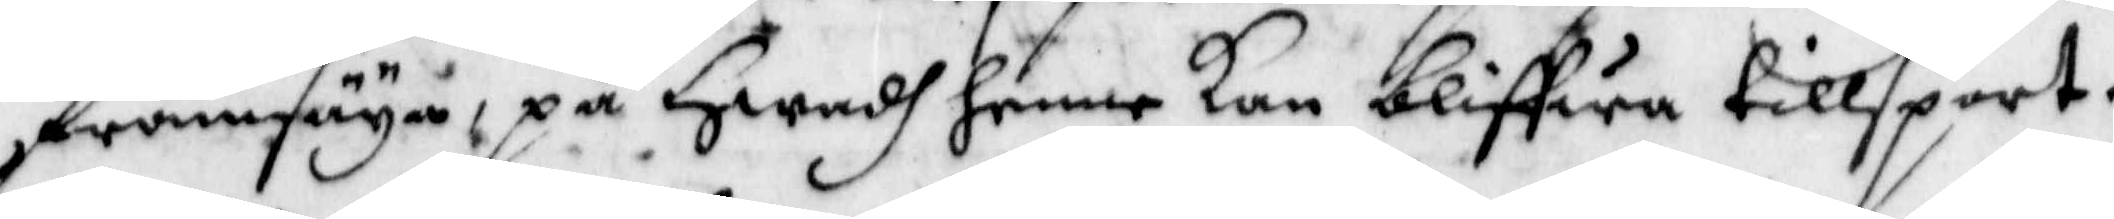framsäya, på Hwadh henne kan bliffwa tillsport.
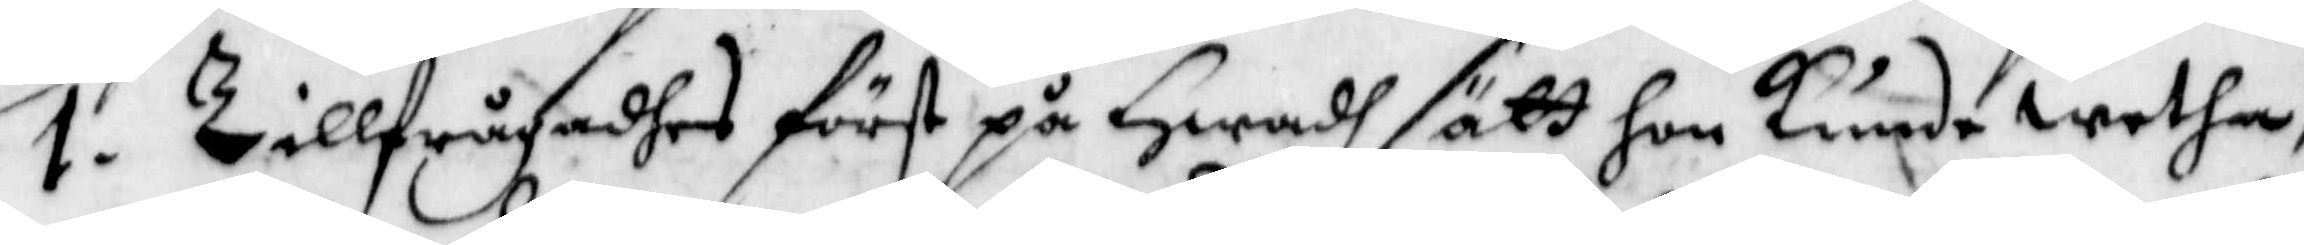1. Tillfrågadhes först på Hwadh sätt hon kunde Wetha,
